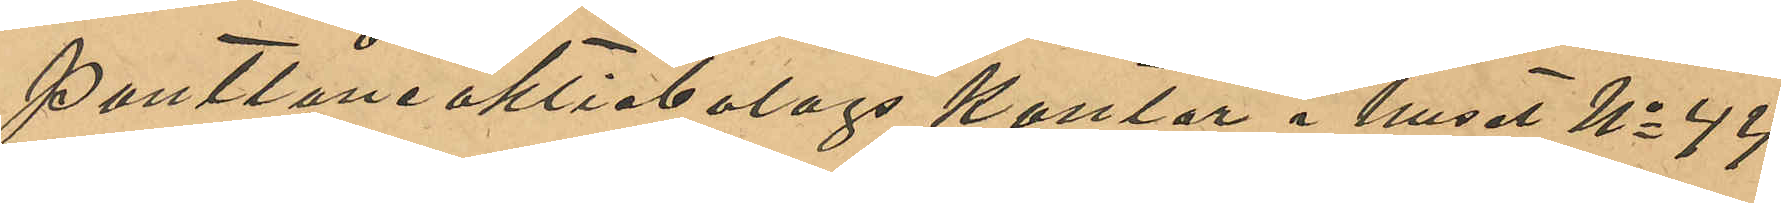Pantlåneaktiebolags kontor i huset No 44
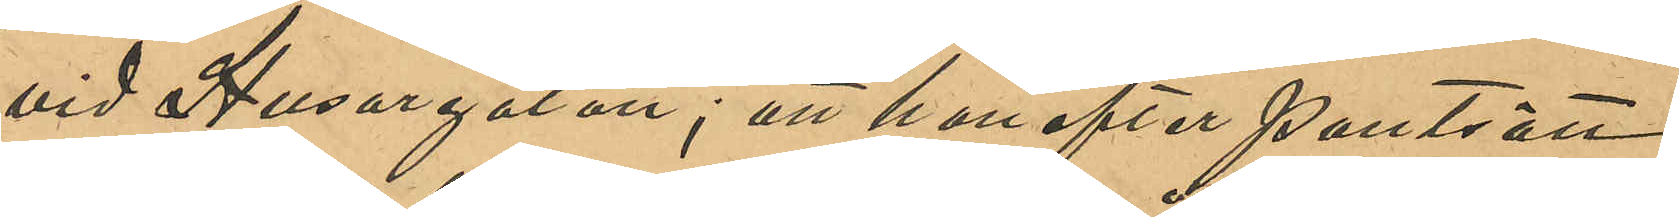vid Husargatan, att hon efter pantsätt¬
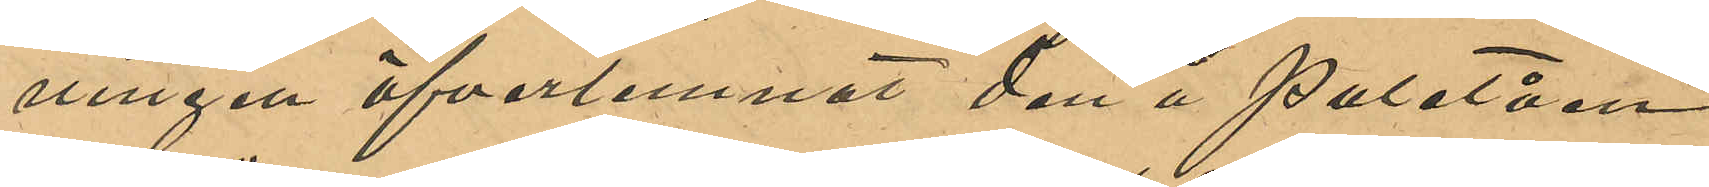ningen öfverlemnat den å Paletån
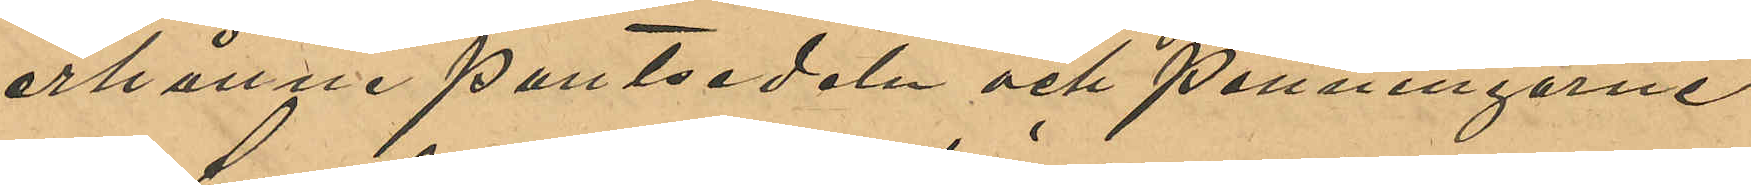erhållne pantsedeln och penningarne
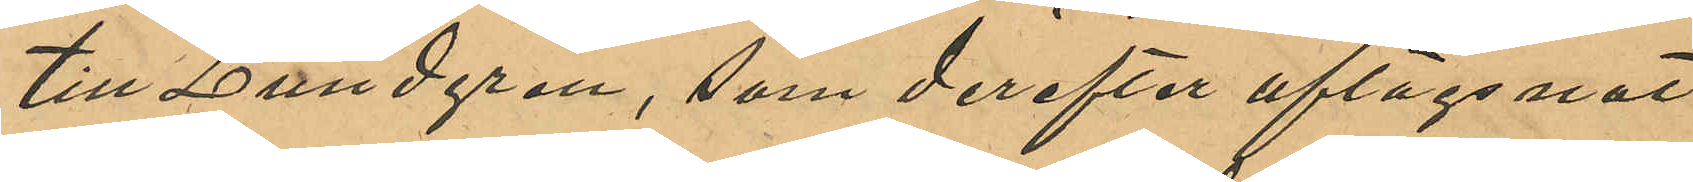till Lundgren, som derefter aflägsnat
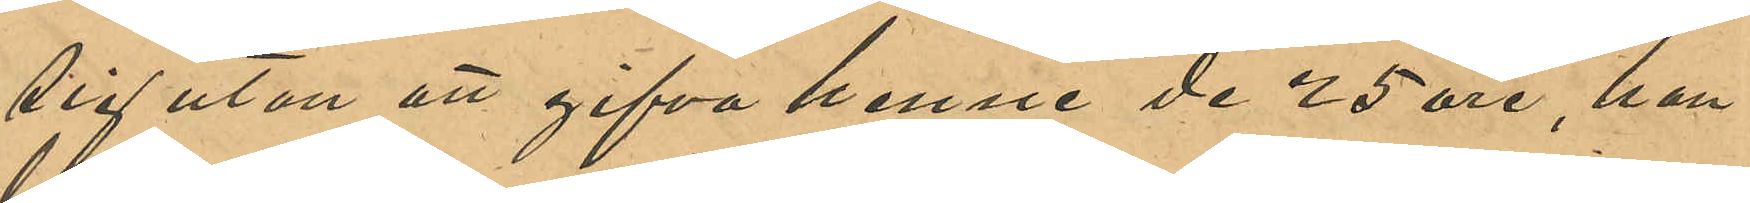sig utan att gifva henne de 25 öre, han
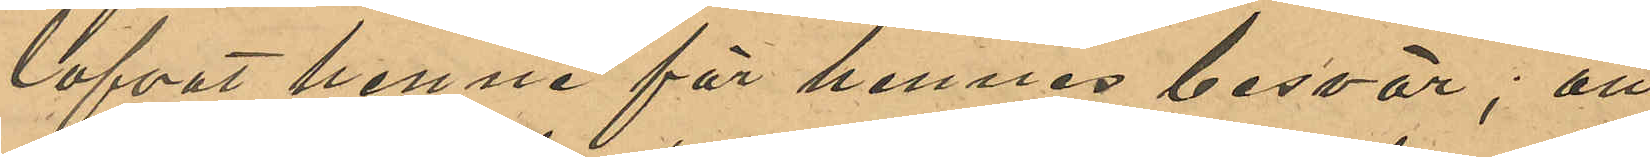lofvat henne för hennes besvär; att
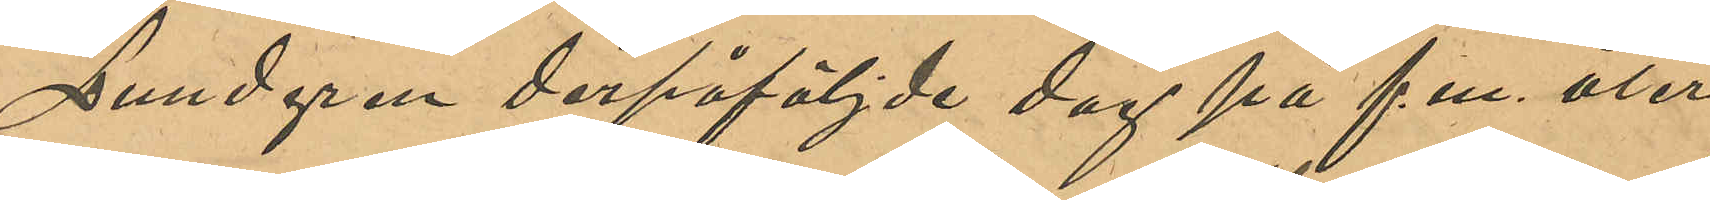Lundgren derpåföljde dag på f.m. åter
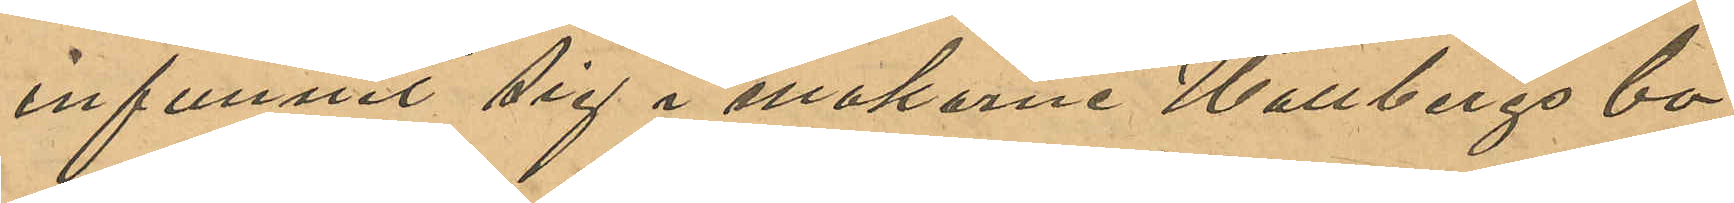infunnit sig i makarne Hallbergs bo¬
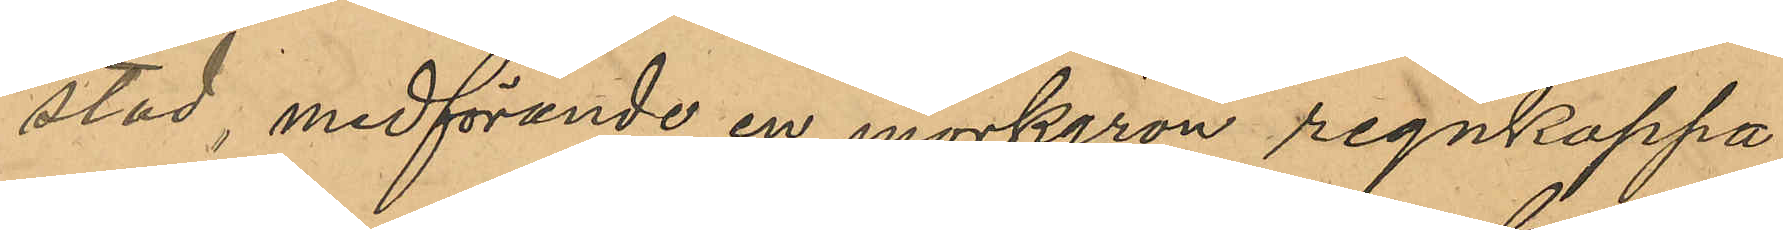stad, medförande en mörkgrön regnkappa,
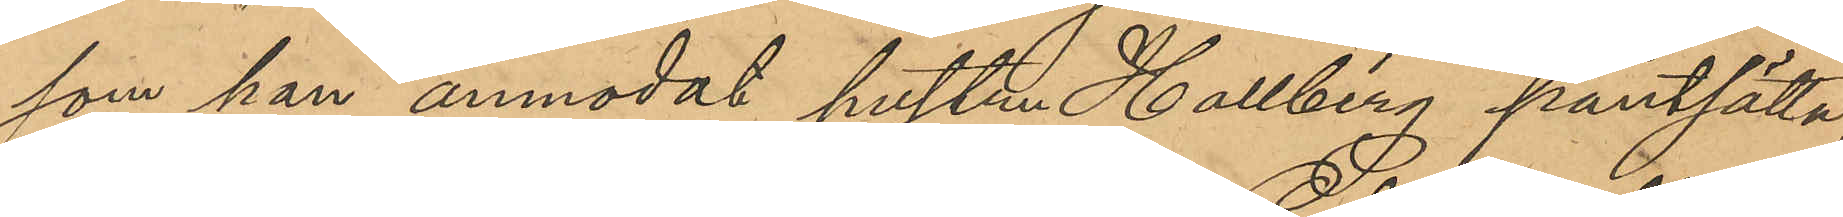som han anmodat hustru Hallberg pantsätta,
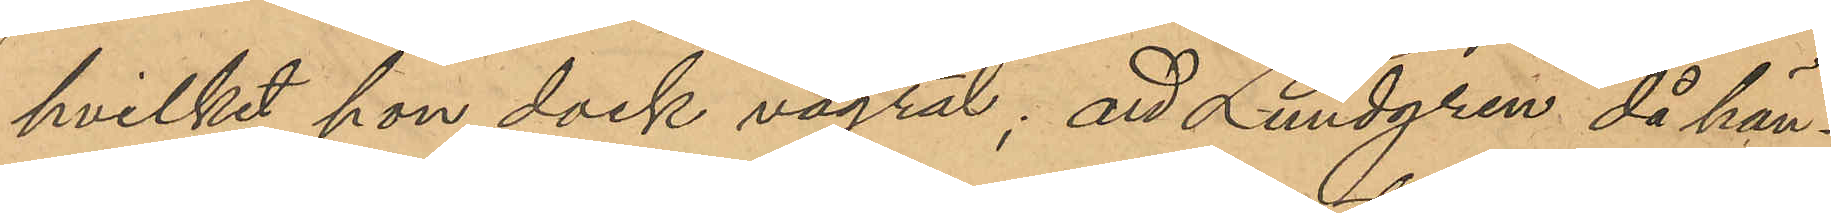hvilket hon dock vägrat; att Lundgren då han
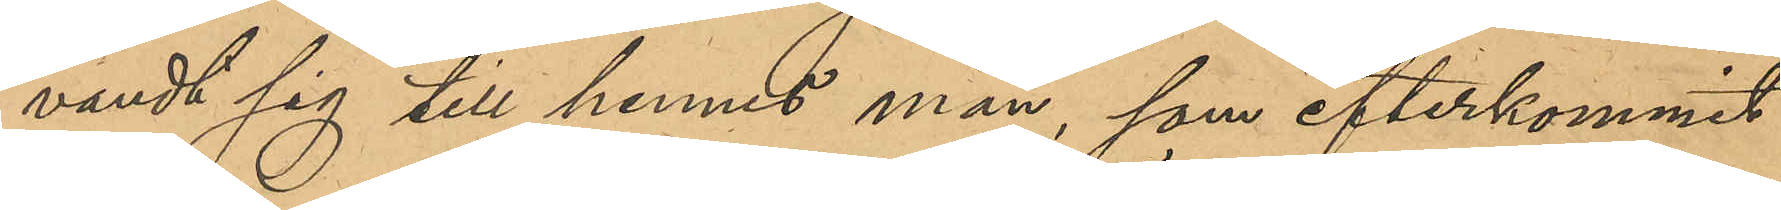vändt sig till hennes man, som efterkommit
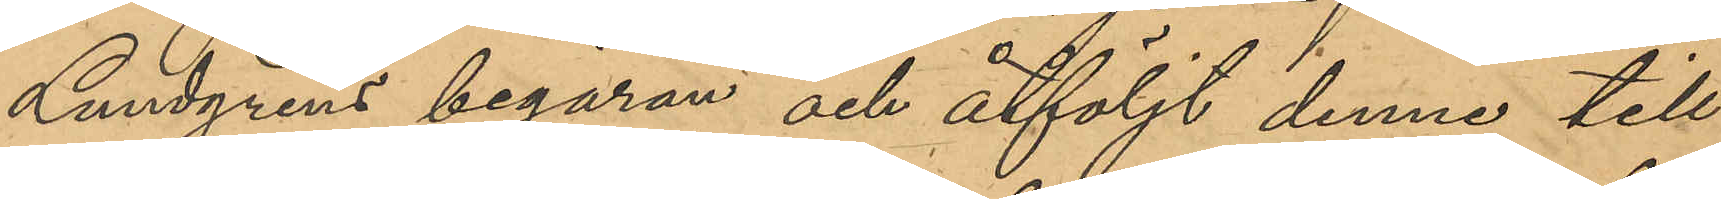Lundgrens begäran och åtföljt denne till
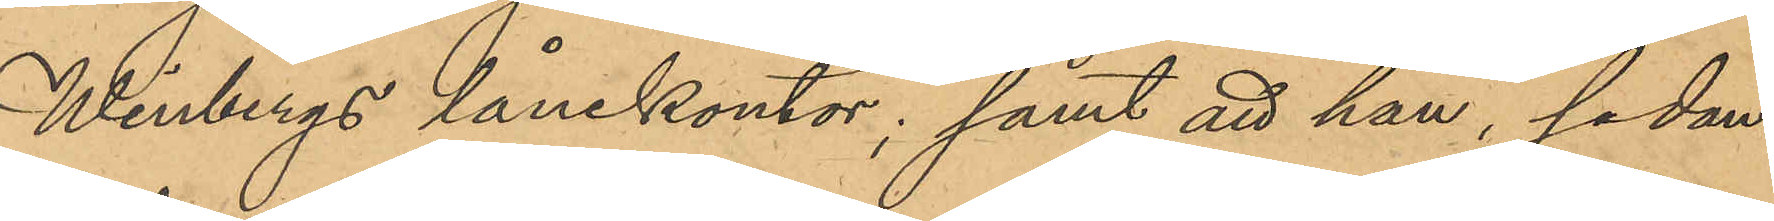Winbergs lånekontor; samt att hon, sedan
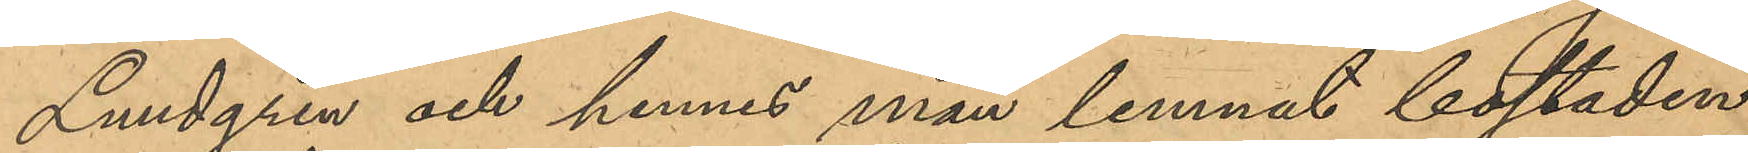Lundgren och hennes man lemnat bostaden
